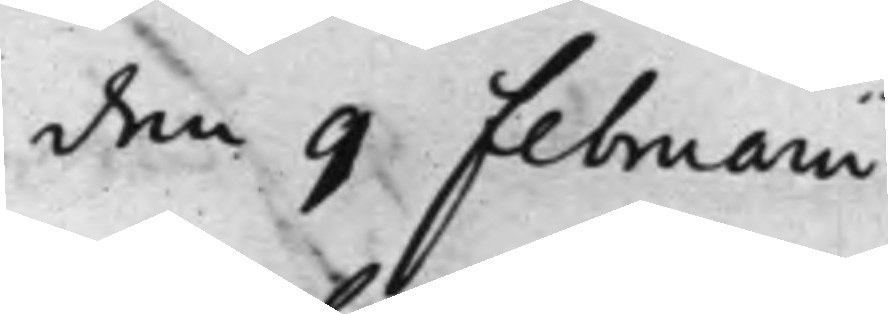den 9 Februarii
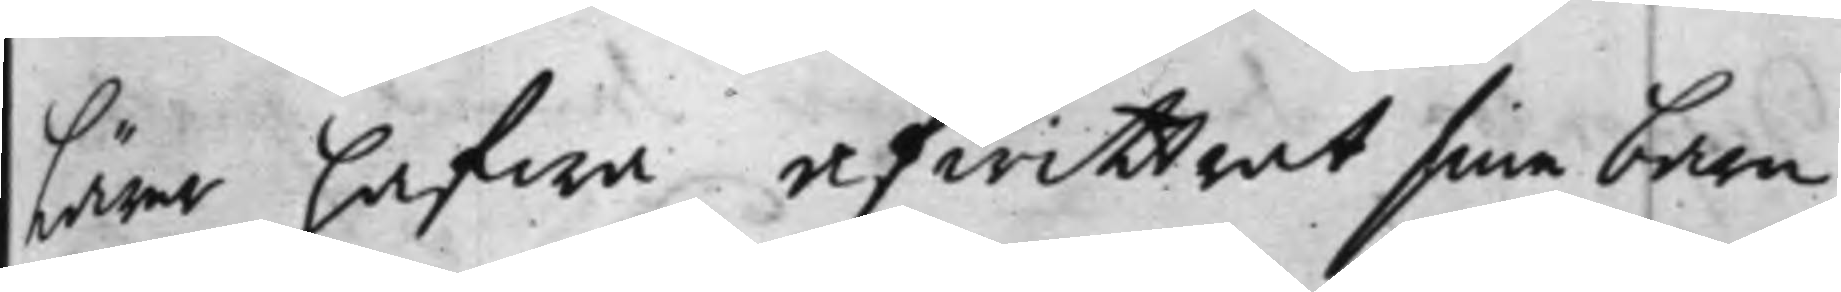lärer hafwa afwittrat sina barn,
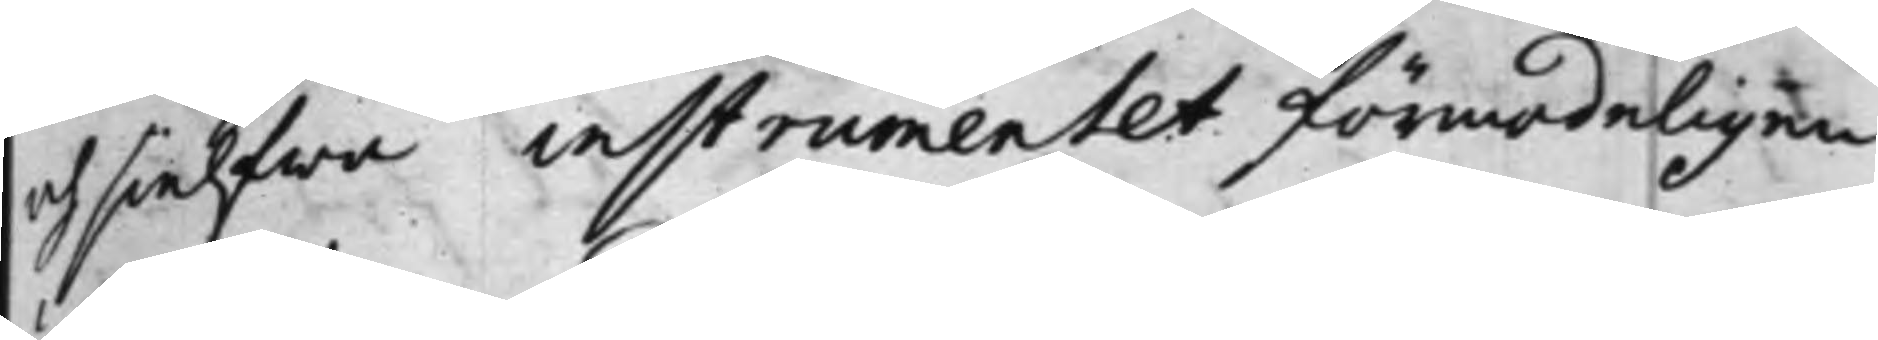och sielfwa instrumentet förmodeligen
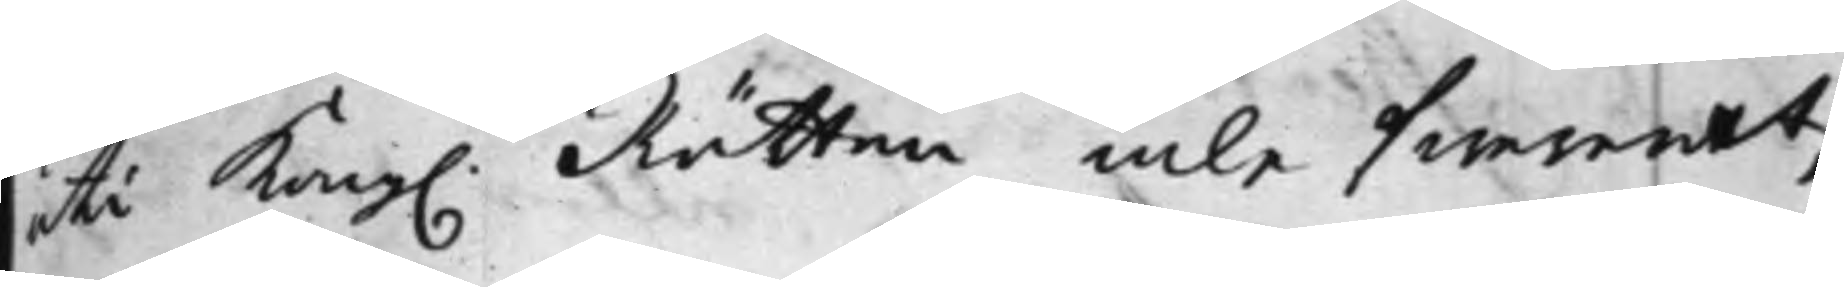uti Kong. Rätten inlefwererat,
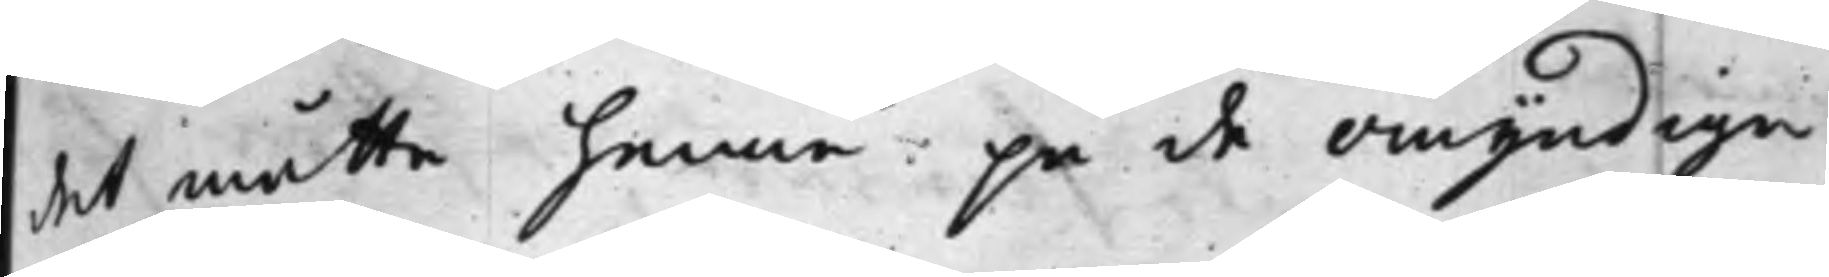det måtte henne på de Omyndiga
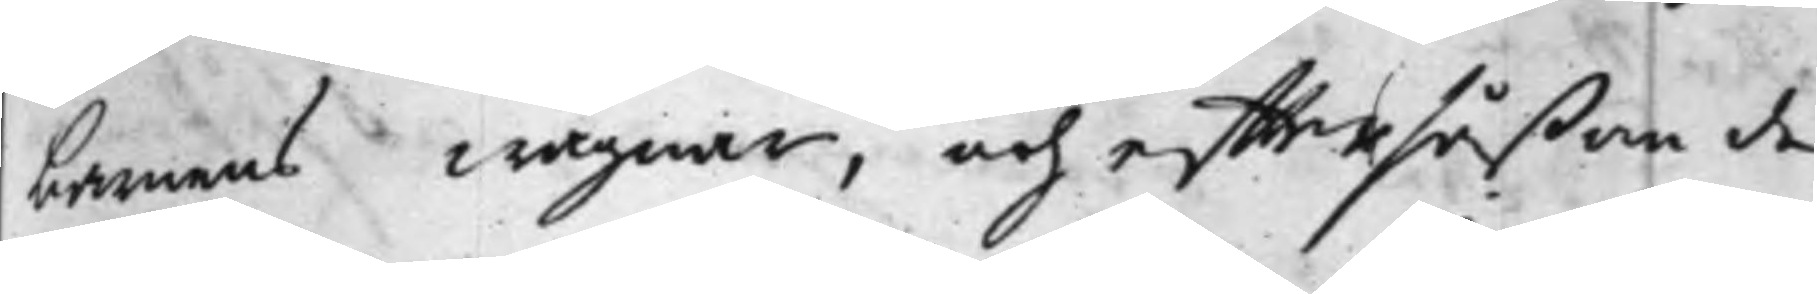barnens wägnar, och efftersåßom de
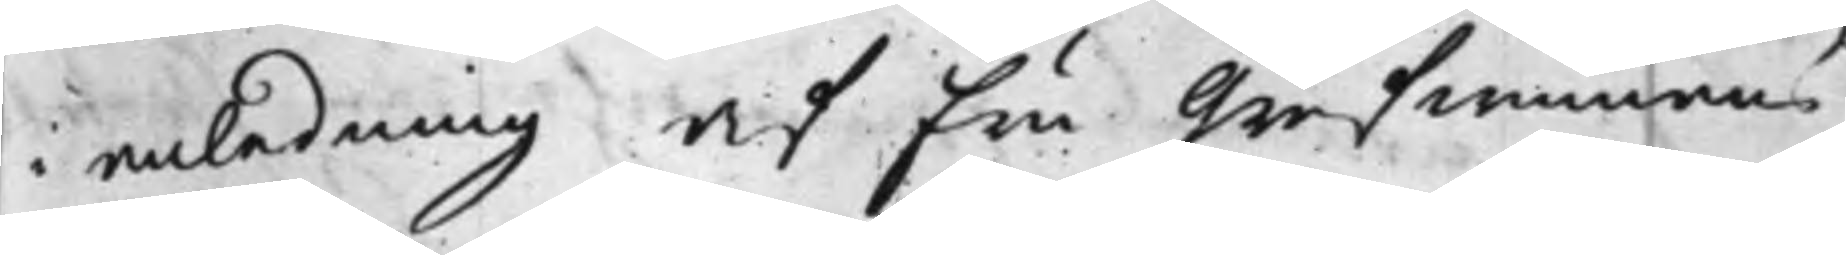i anledning af Fru Grefwinnans
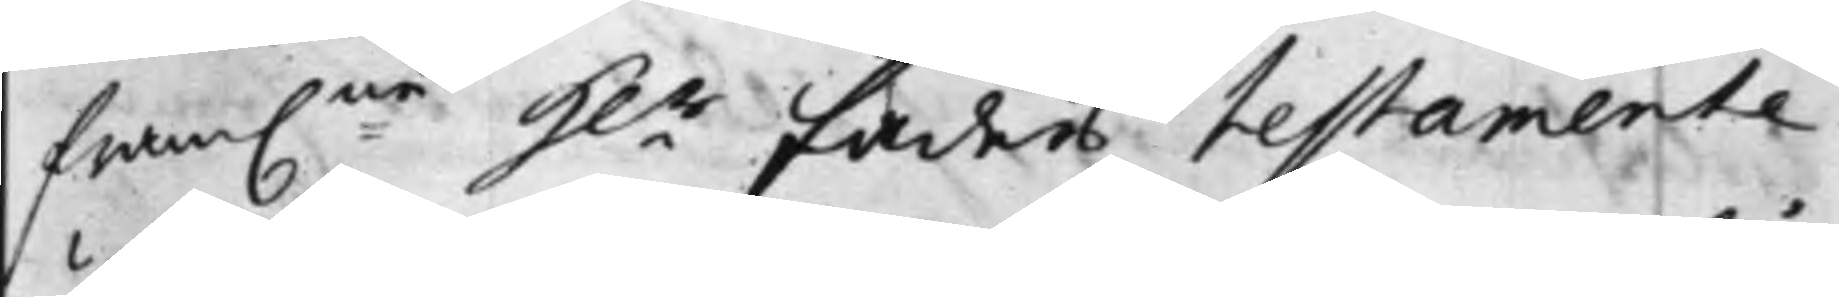fram:ne H.r Faders Testamente
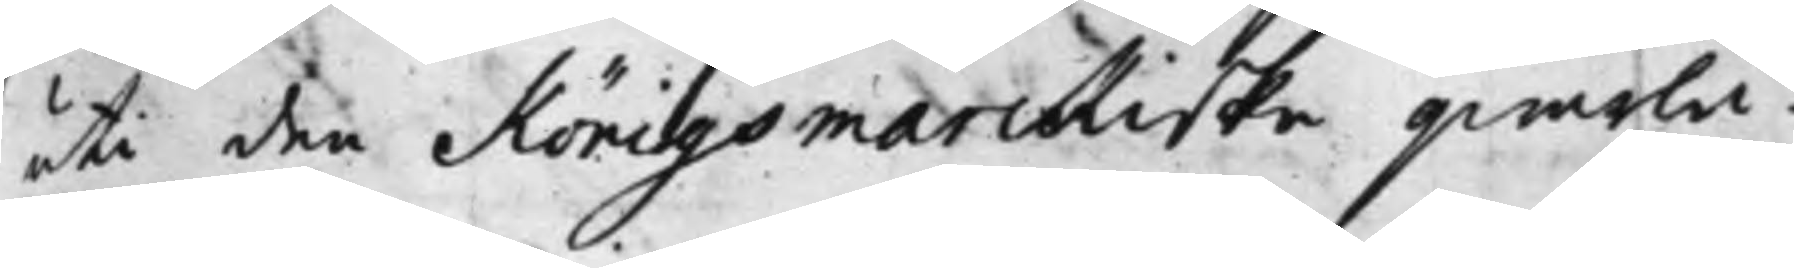uti den Königsmarckiske qwarlå¬
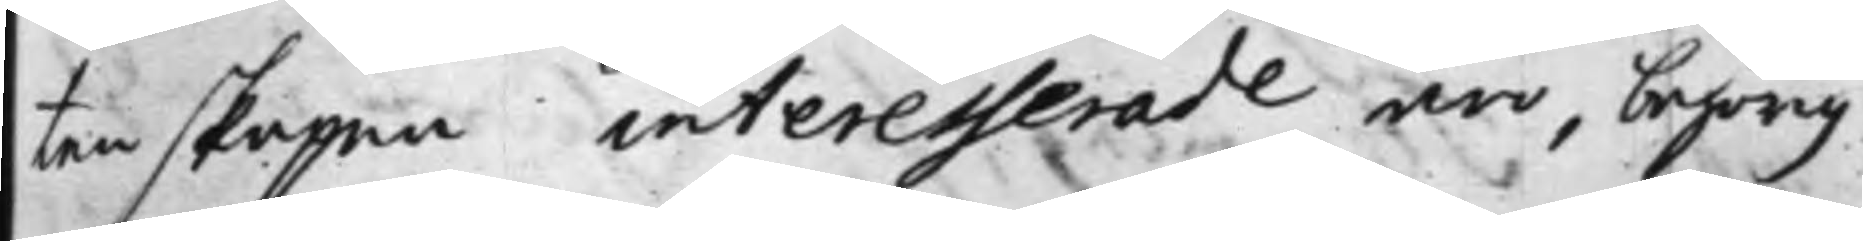tenskapen interesserade äro, behörig
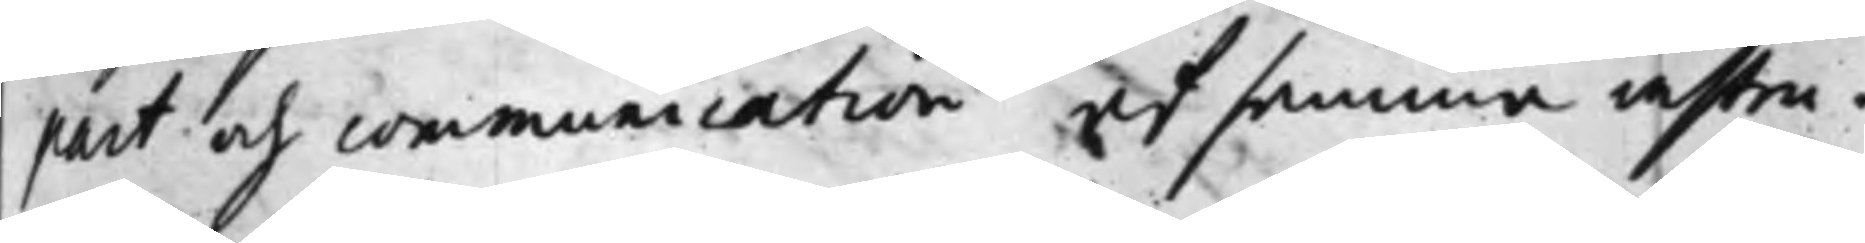part och communication af samma instru¬
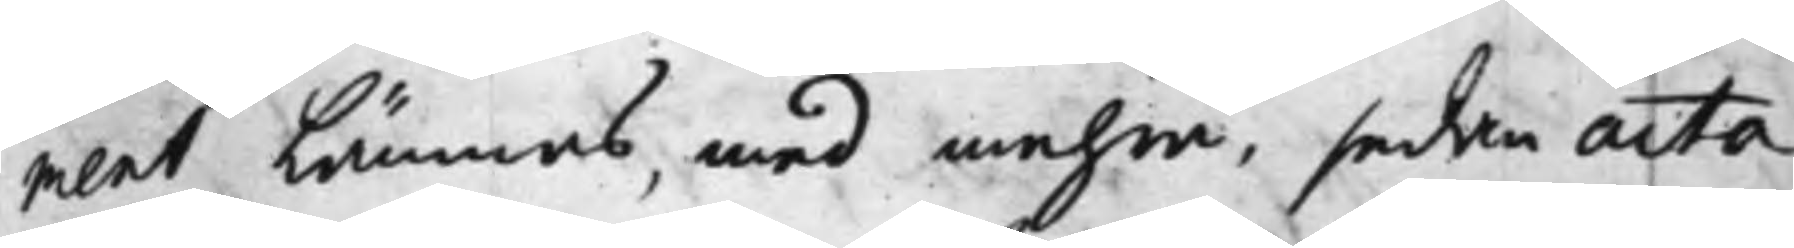ment Lämnas, med mehra. sedan acta
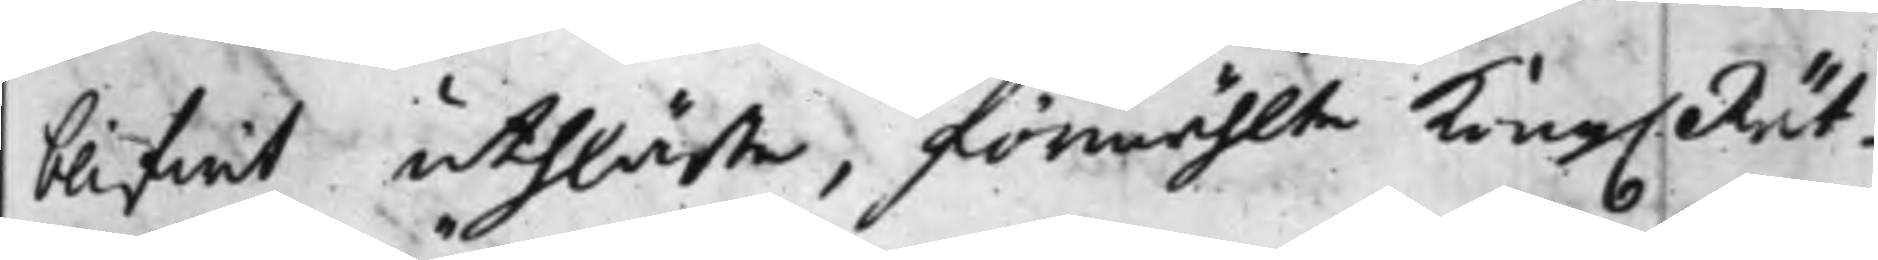blifwit uthläste, förmählte Kong. Rät¬
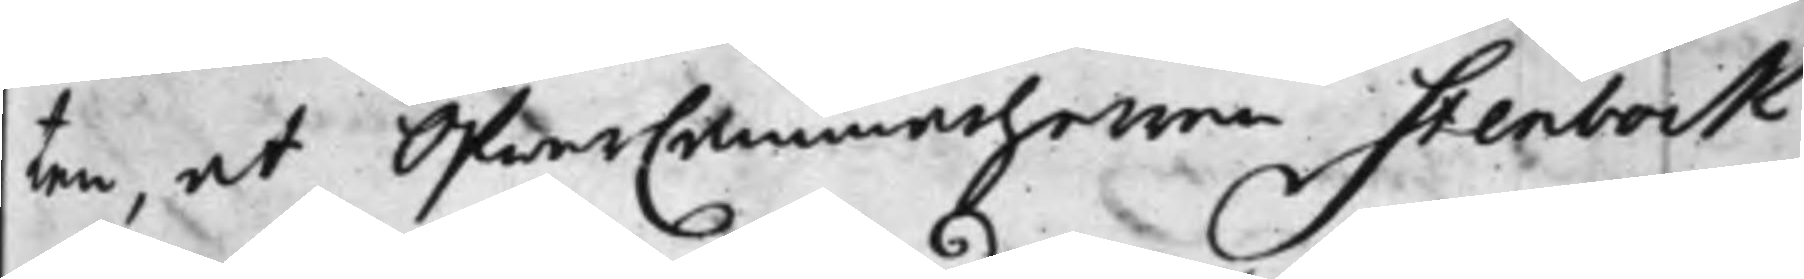ten, at ÖfwerCammarherren Stenbock
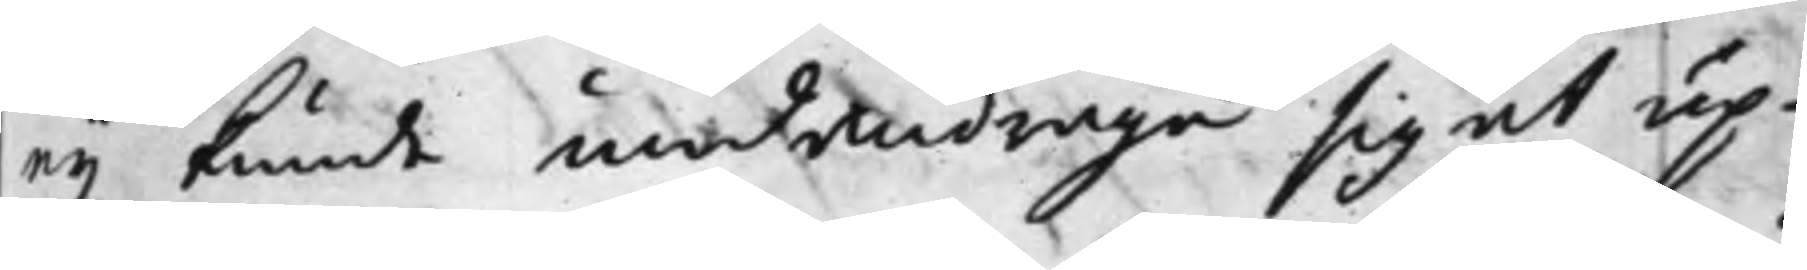ey kunde undandraga sig at up¬
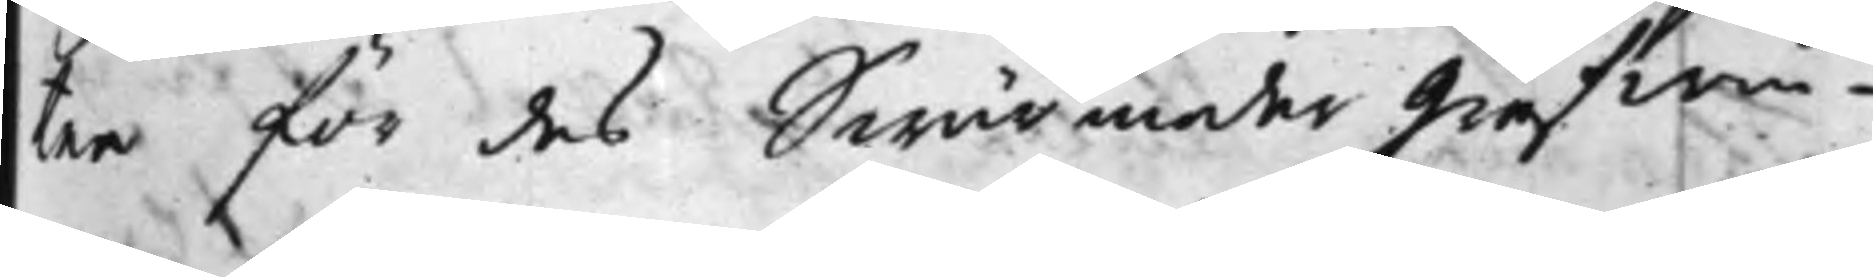tee för des Swärmoder Grefwin¬
